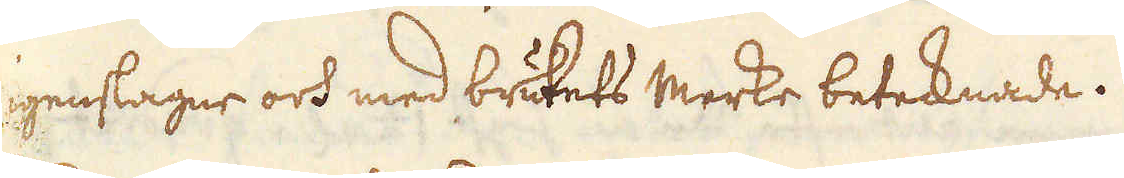igenslagne och med brukets merke betecknade.
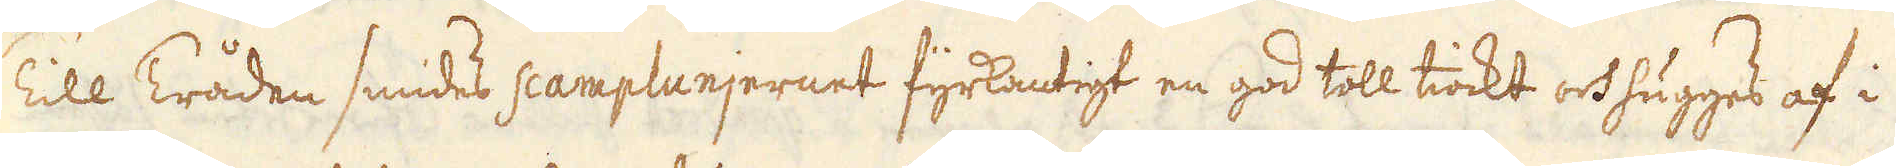Till Tråden smides scamplunjernet fyrkantigt en god toll tiockt och hugges af i
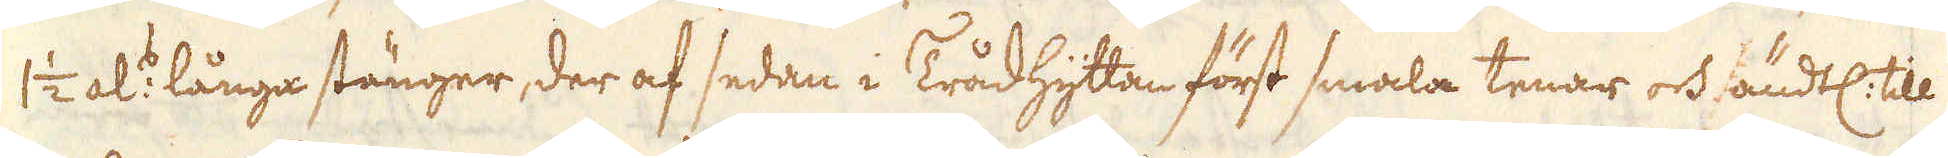1 1/2 al:s långa stänger, der af sedan i Trådhyttan först smala tenar och ändtl: till
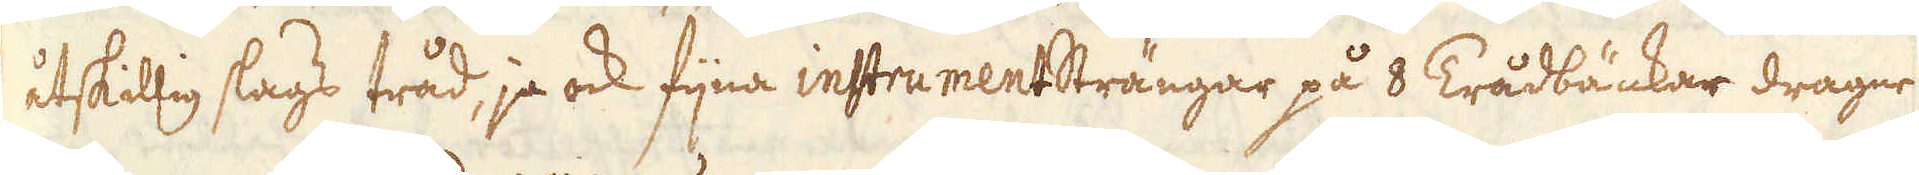åtskillig slags tråd, ja ock fijna instrumentsträngar på 8 Trådbänkar dragne
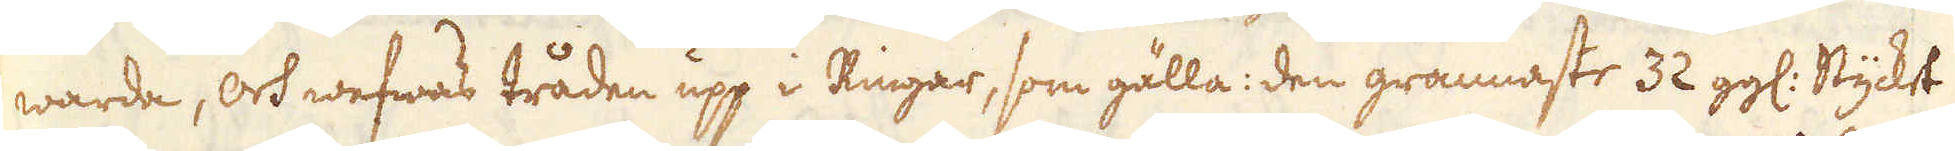warda, och wefwas tråden upp i Ringar, som gälla: den grannaste 32 gg: Stycket
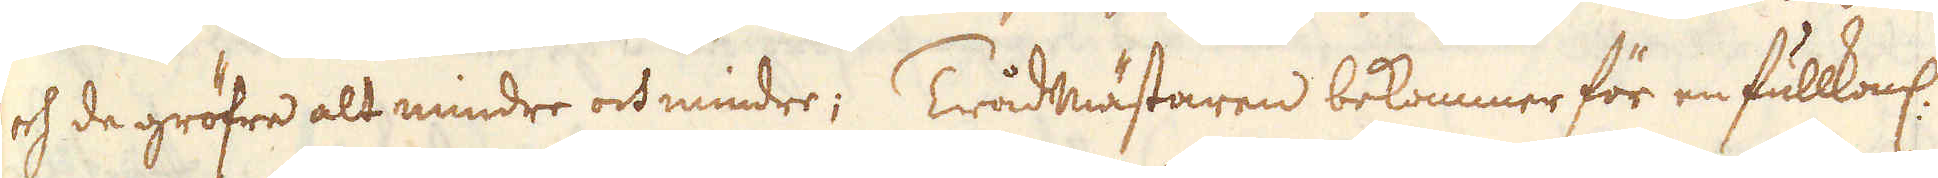och de gröfre alt mindre och mindre; Trådmästaren bekommer för en fullkoml:
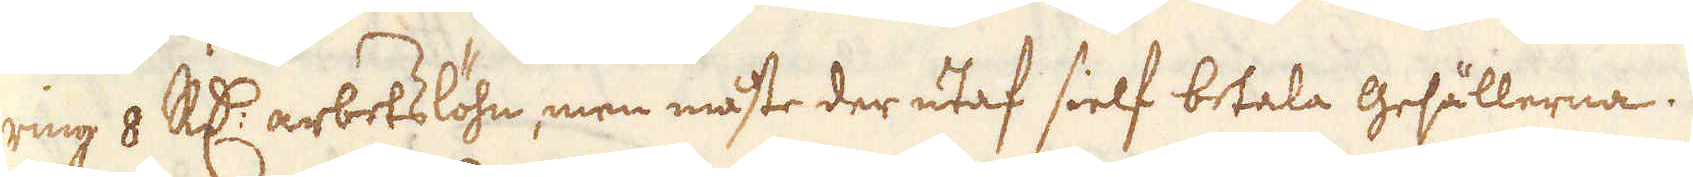ring 8 R:dr arbetslöhn, men måste der utaf sielf betala gesällerna.
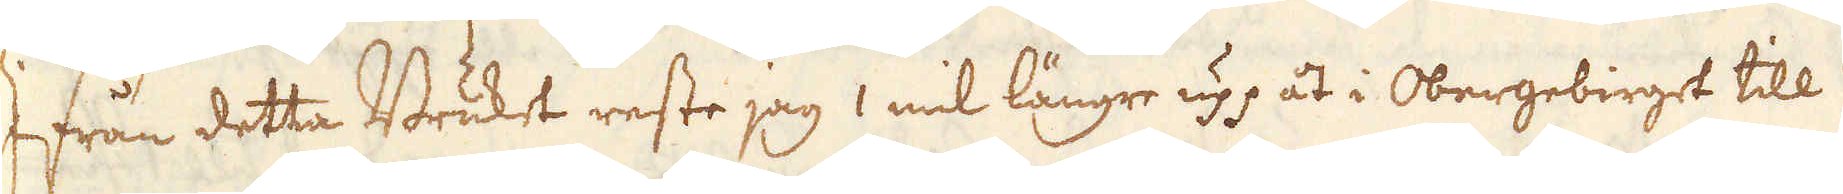Ifrån detta Bruket reste jag 1 mil längre upp åt i Obergebirget till
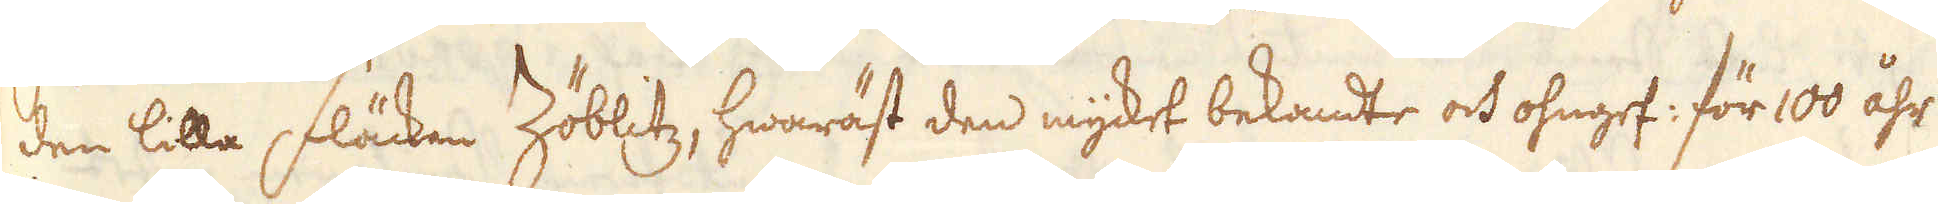den lilla fläcken Zöblitz, hwaräst den mycket bekante och ohngef: för 100 åhr
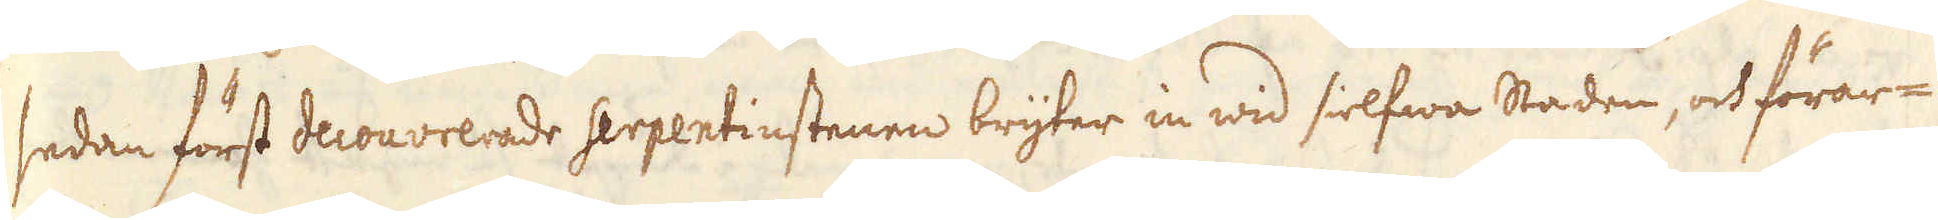sedan först decouvrerade serpentinstenen bryter in wid sielfwa Saden, och förar-
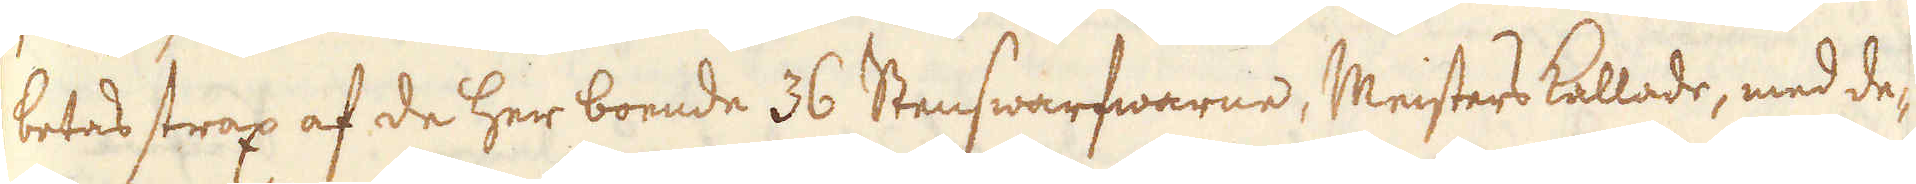betas strax af de her boende 36 Stenswarfwarne, Meisters kallade, med de-
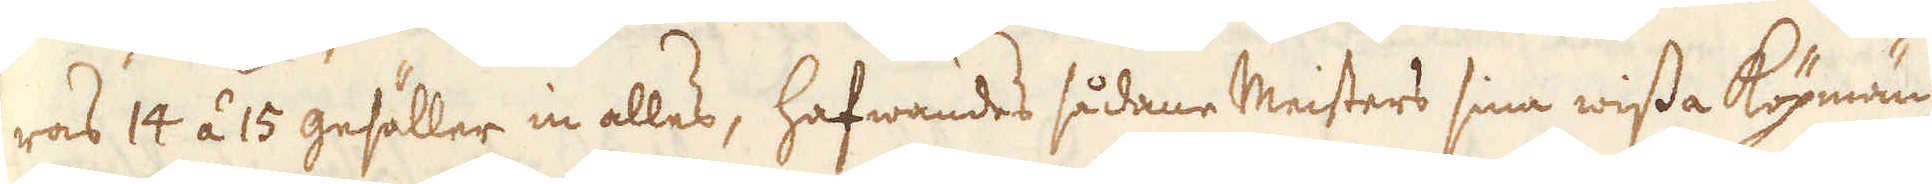ras 14 á 15 gesäller in alles, hafwandes sådane Meisters sina wissa Köpmän
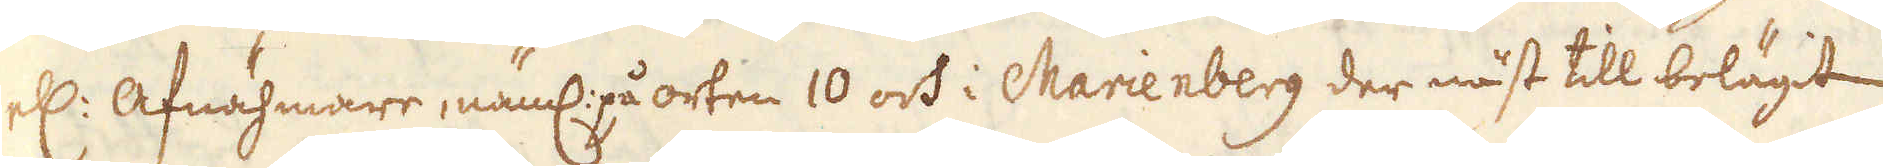ell: Afnähmare, näml: på orten 10 och i Marienberg der näst till belägit
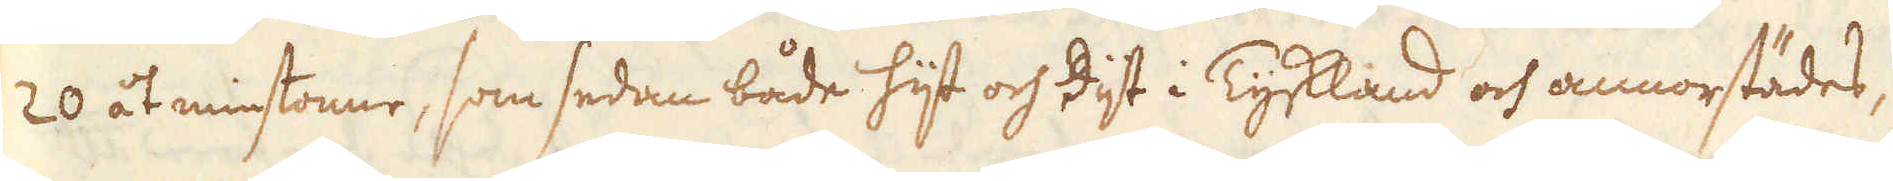20 åt minstonne, som sedan både hijt och dijt i Tyskland och annorstädes,
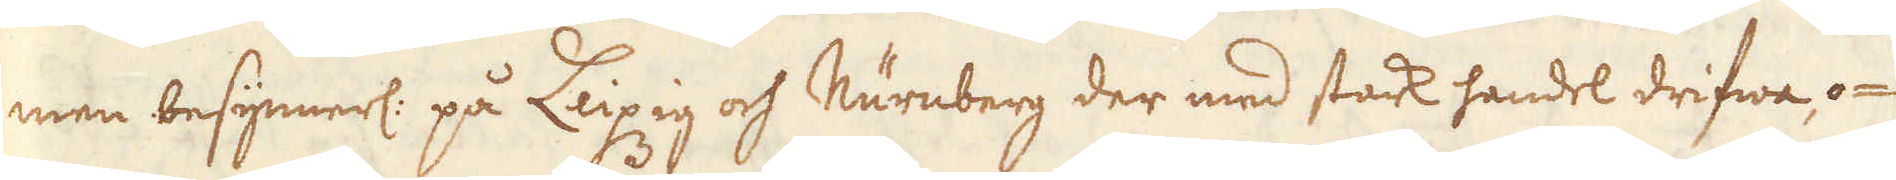men besynnerl: på Leipzig och Nürnberg der med stark handel drifwa, o-
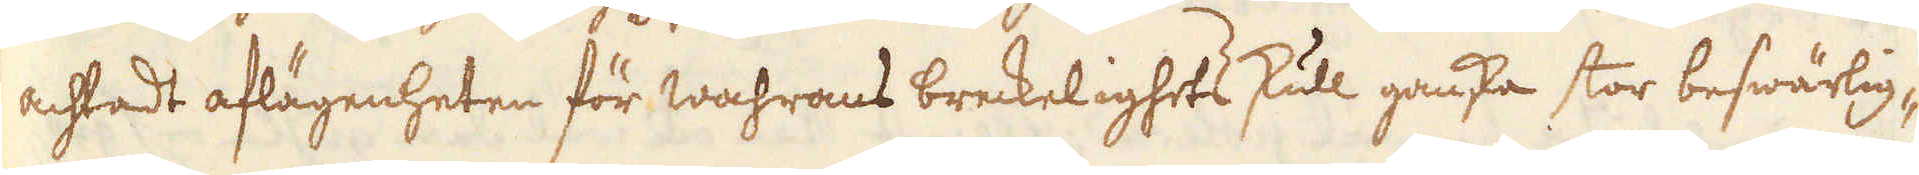achtadt aflägenheten för wahrans breckelighets skull ganska stor beswärlig-
